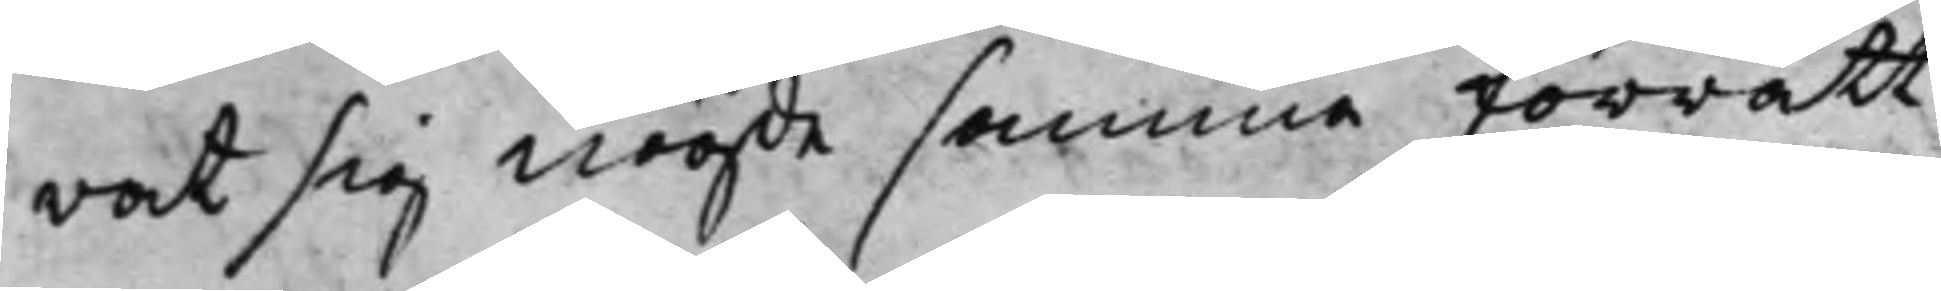rat sig nögde samma förrätt¬
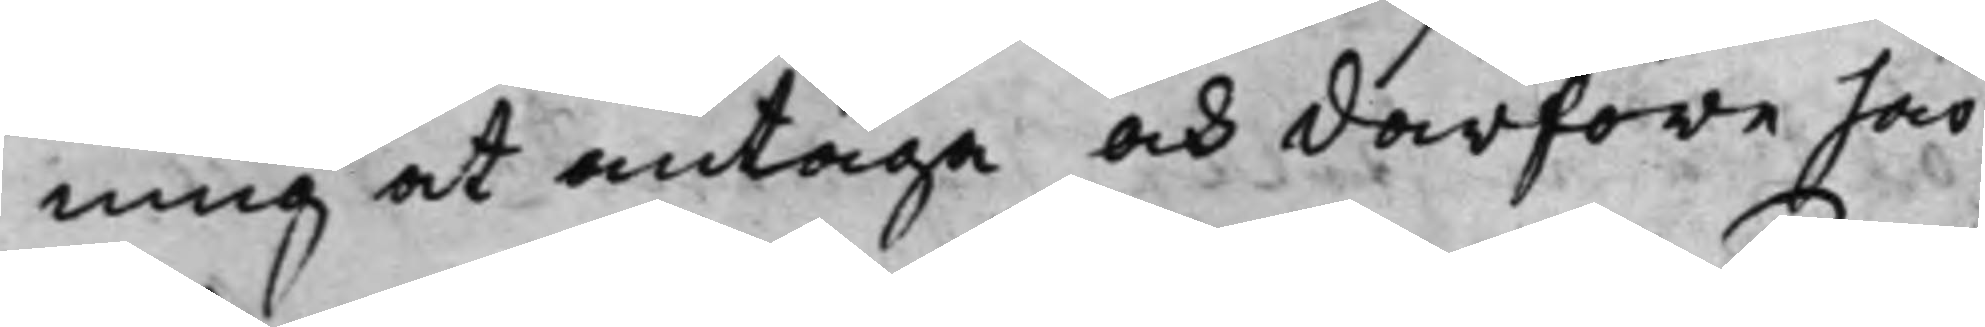ning at antaga och därföre här
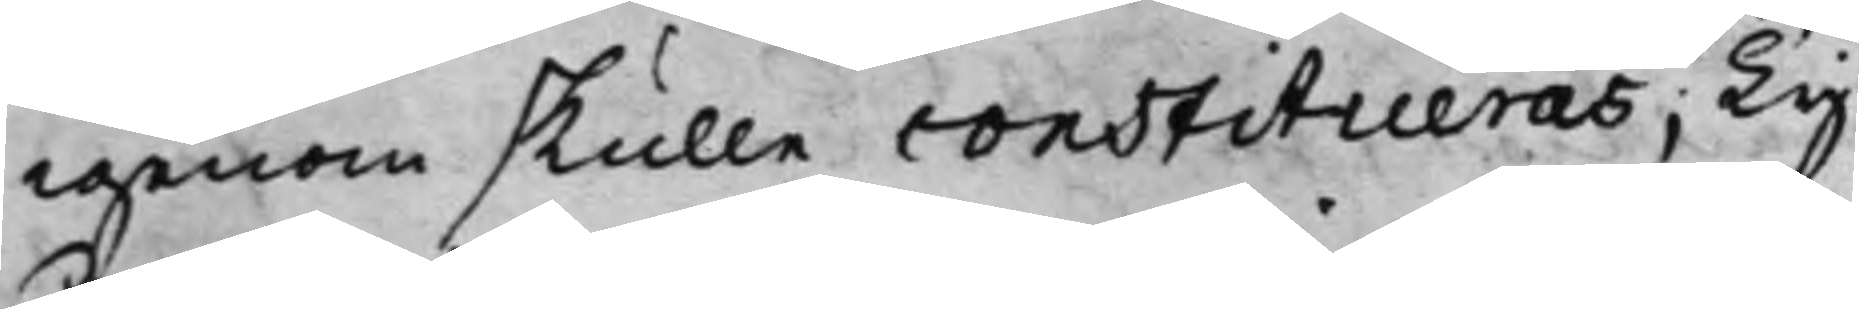igenom skulle constitueras; Ty
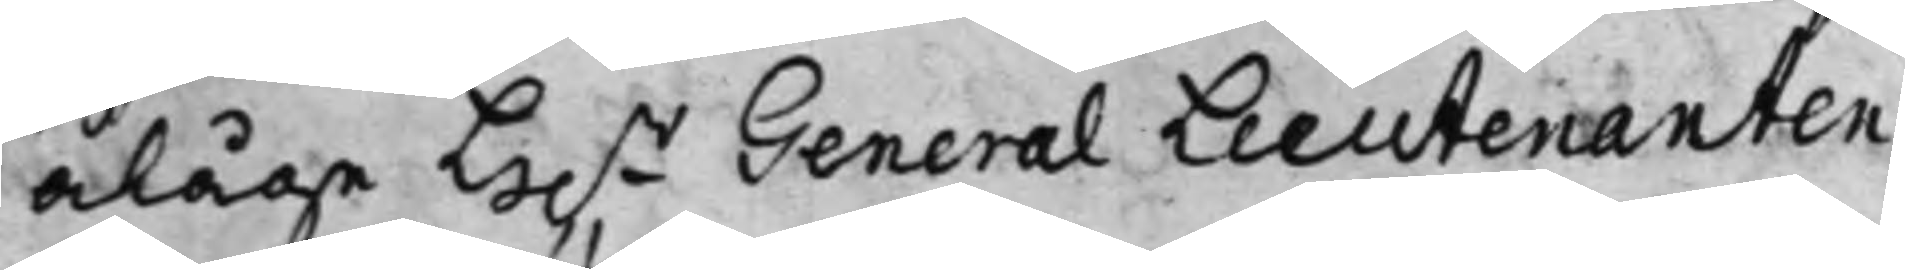ålåge H.r General Lieutenanten
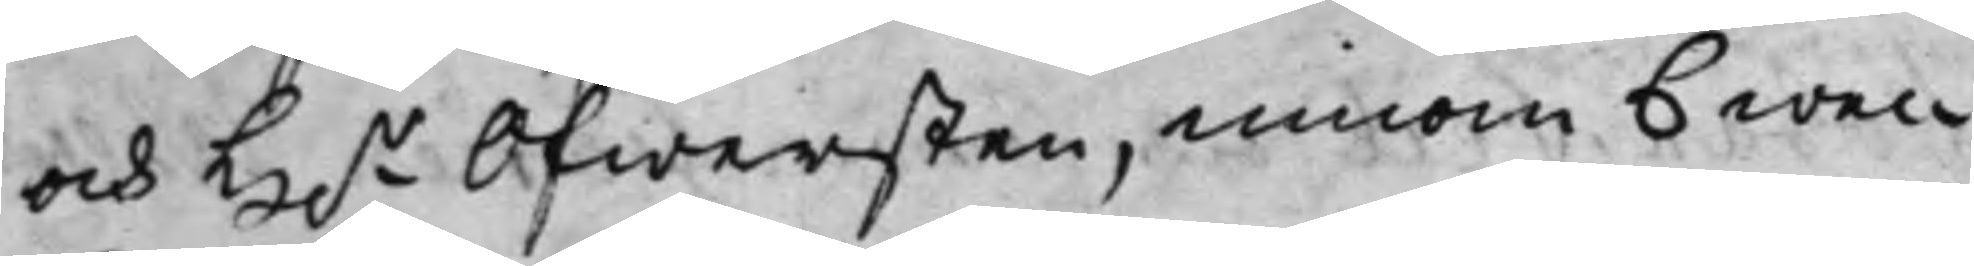och H.r Öfwersten, innom 6 wec¬
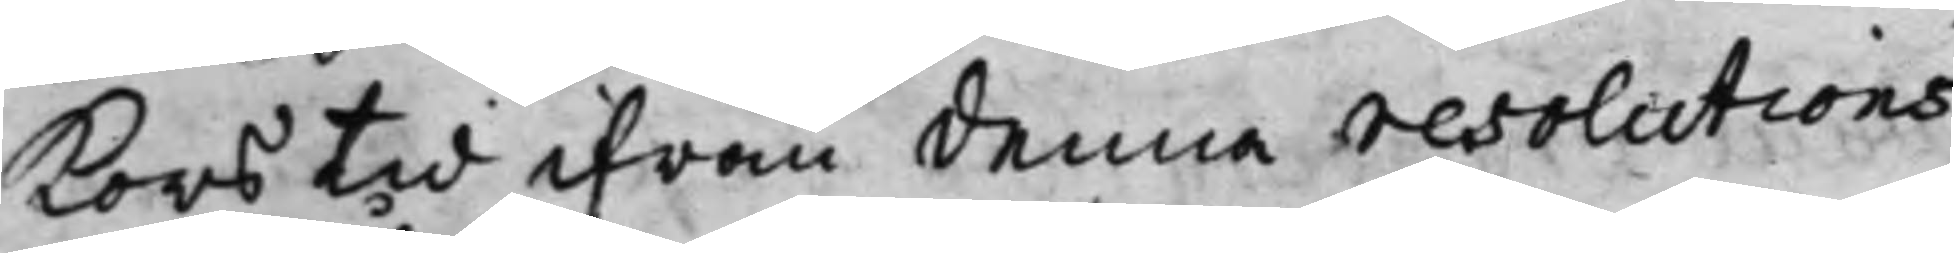kors tid ifrån denna resolutions
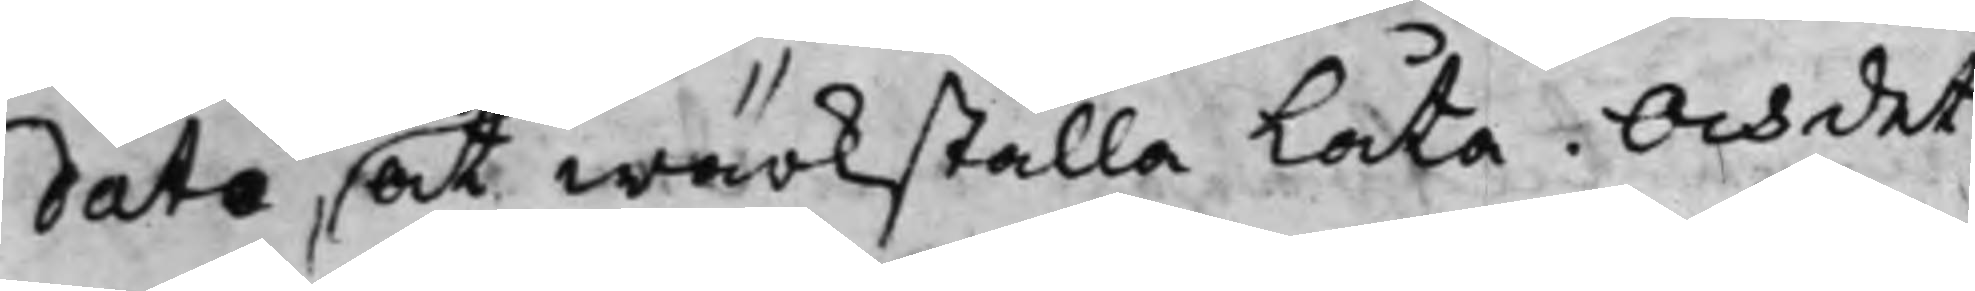dato, at wärkställa Låta. Och det
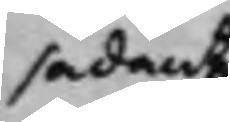sådant
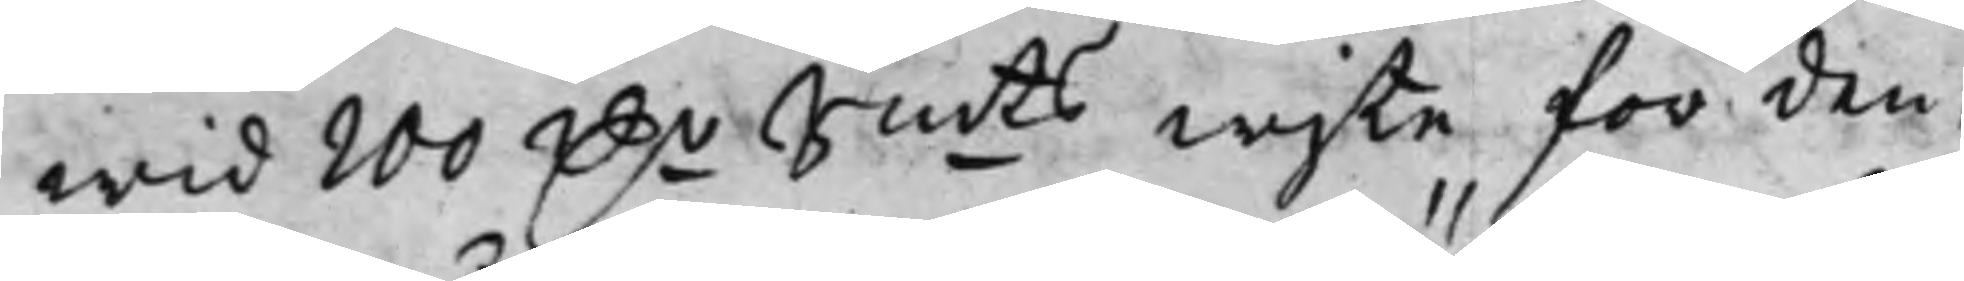wid 200 D.r S:mts wjte för den,
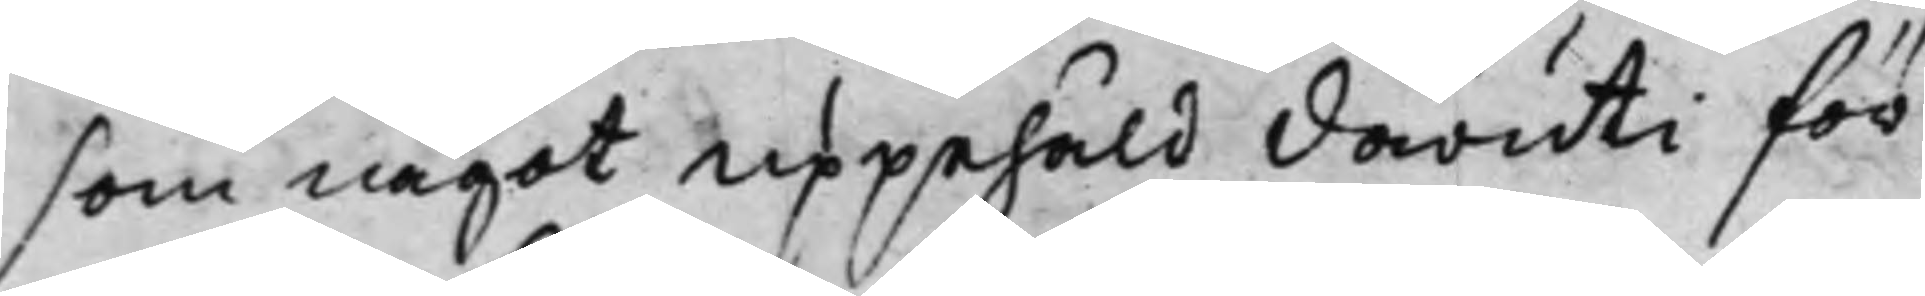som något uppehåld däruti för¬
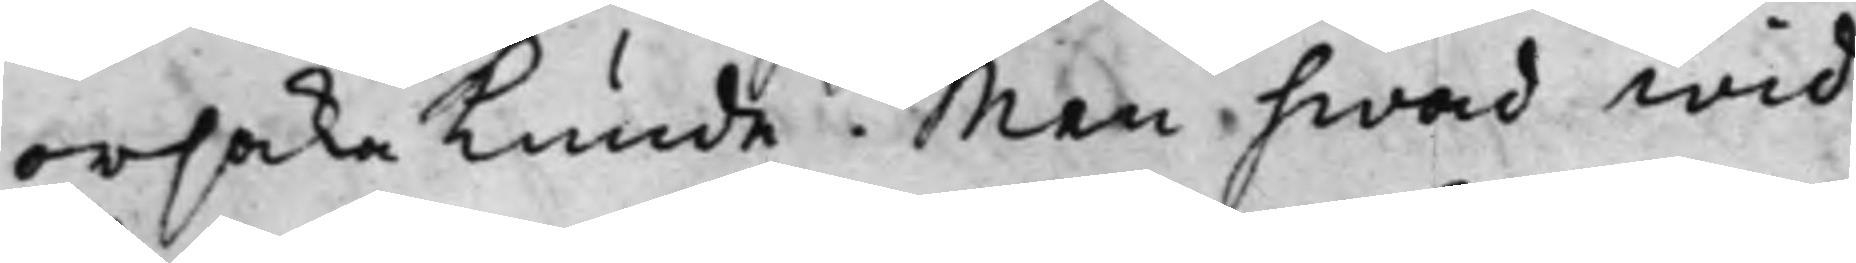orsaka kunde. Men hwad wid¬
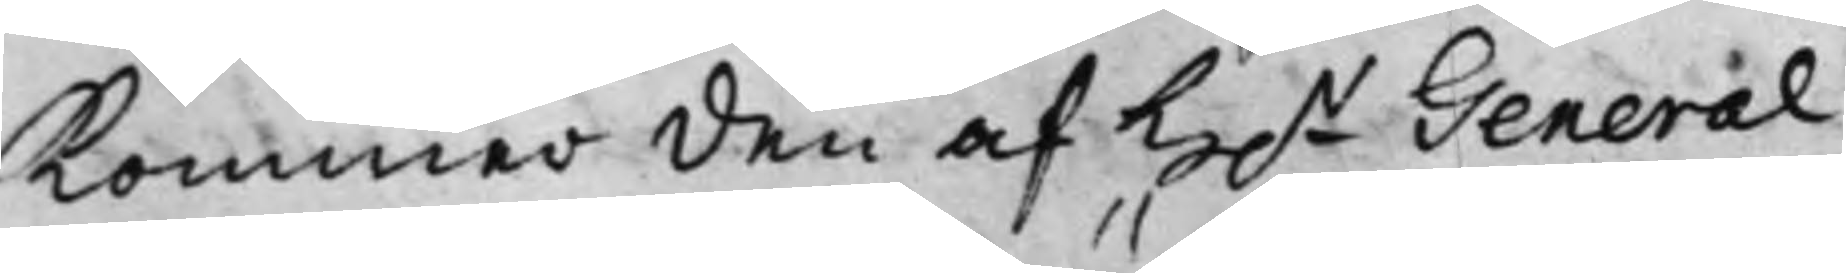kommer den af H.r General
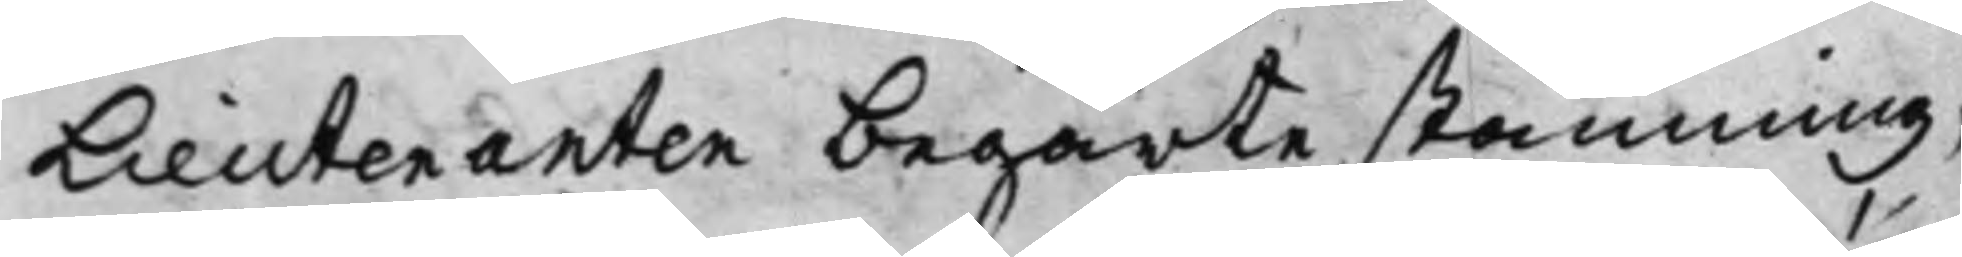Lieutenanten begärte stämning,
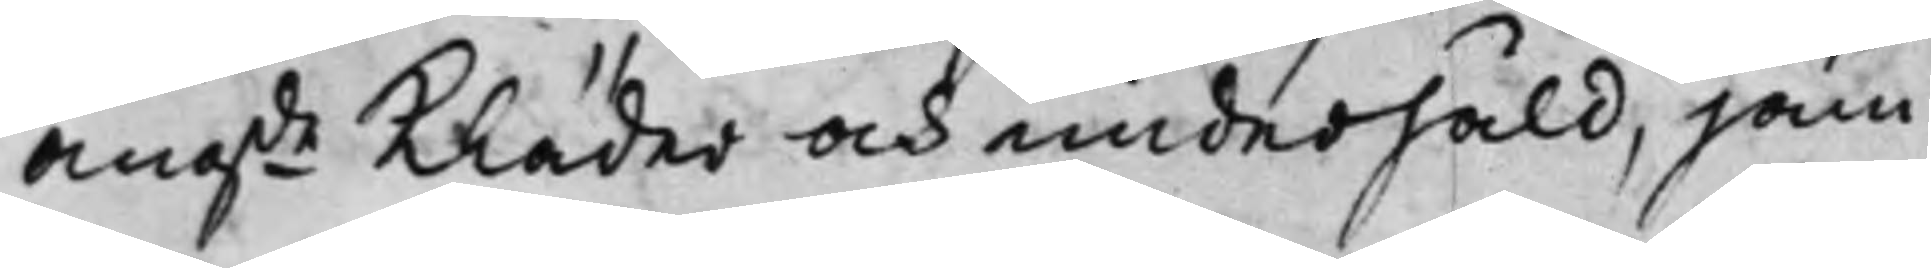angde Kläder och underhåld, jäm¬
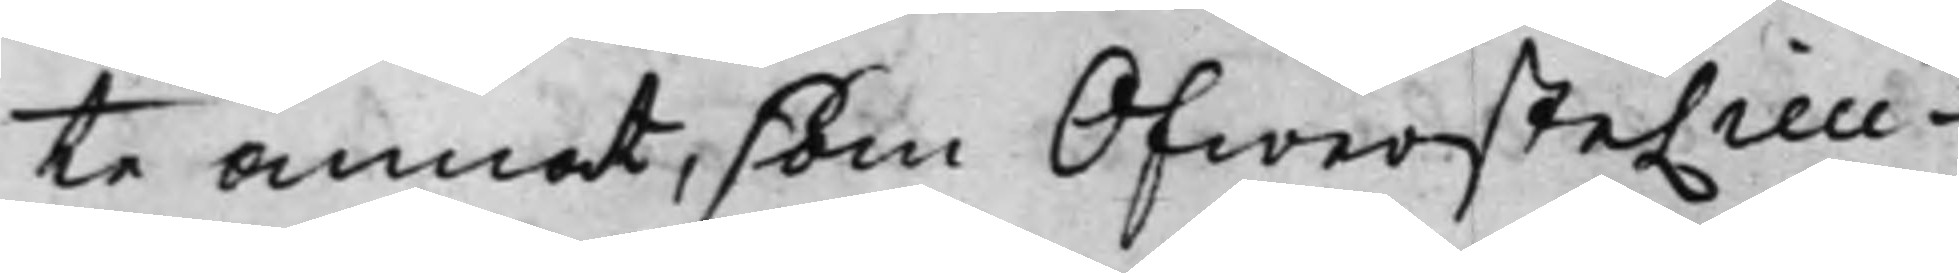te annat, som OfwersteLieu¬
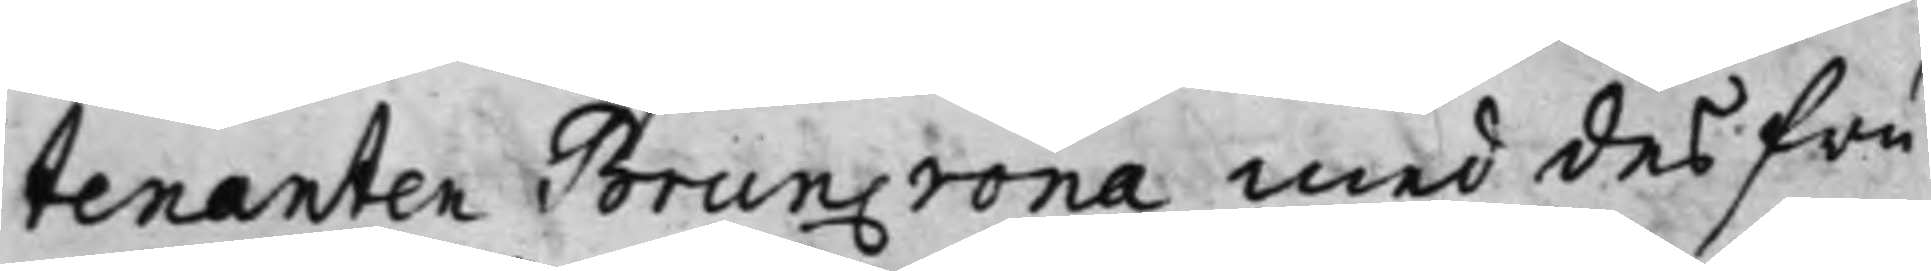tenanten Bruncrona med des fru
